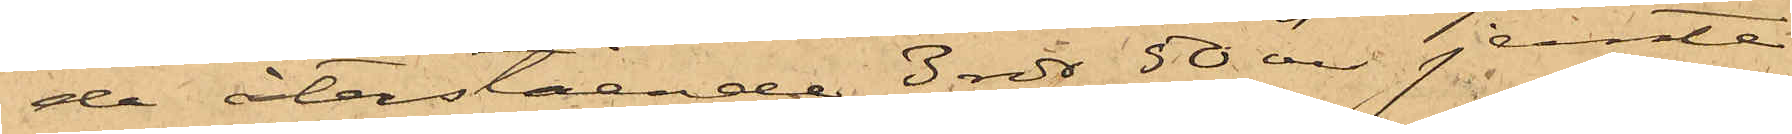de återstående 3 rdr 50 öre jemte
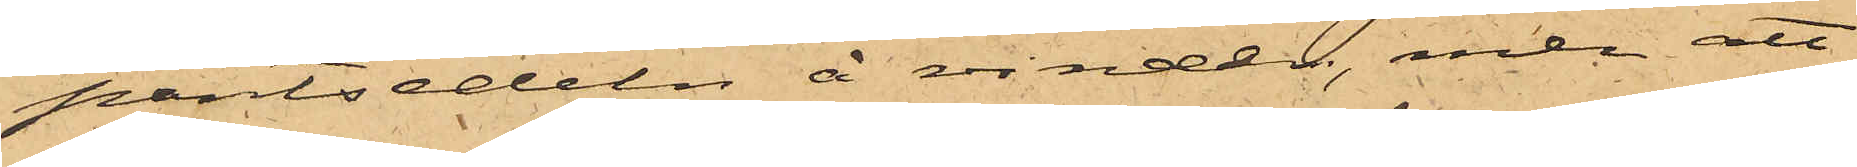pantsedeln å vinden, men att
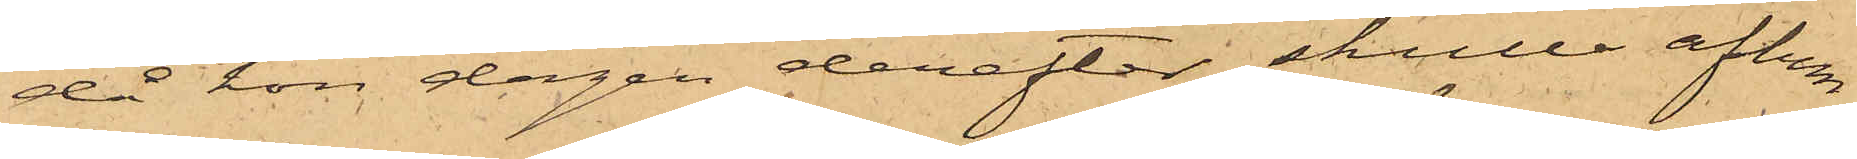då hon dagen derefter skulle aflem¬
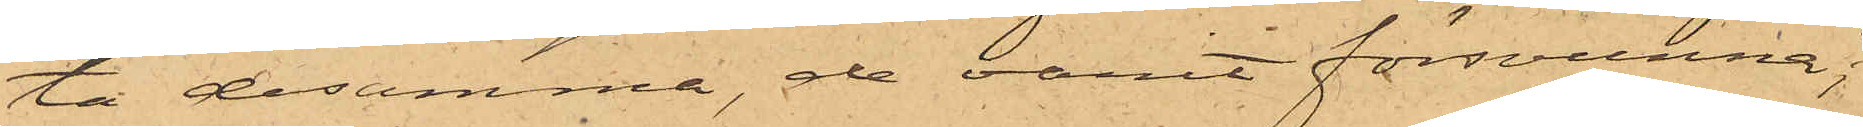ta desamma, de varit försvunna;
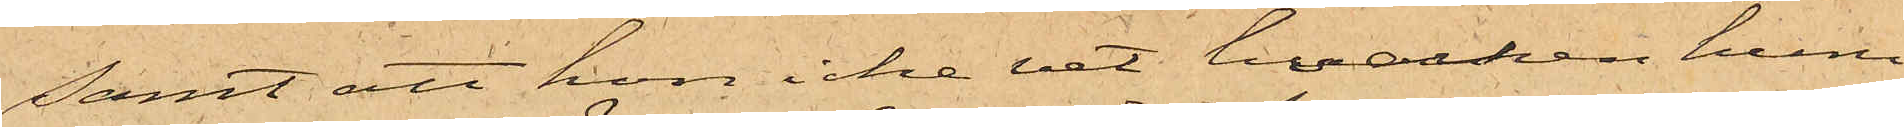samt att hon icke vet, hvilken huru
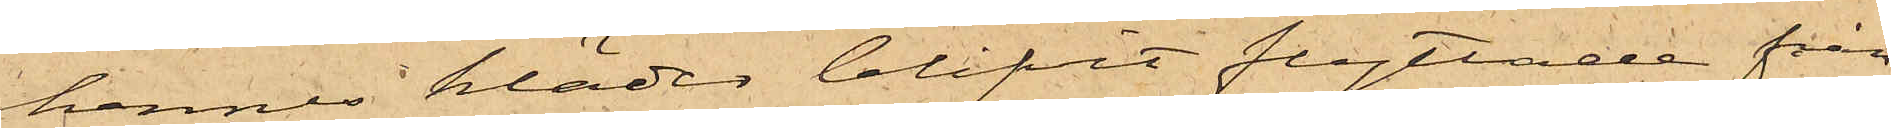hennes kläder blifvit flyttade från
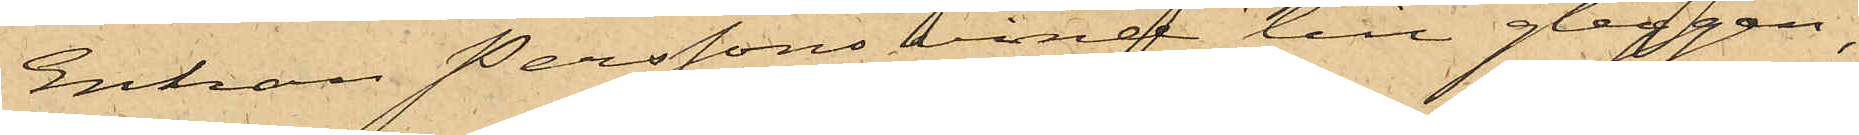Enkan Perssons vind till gluggen,
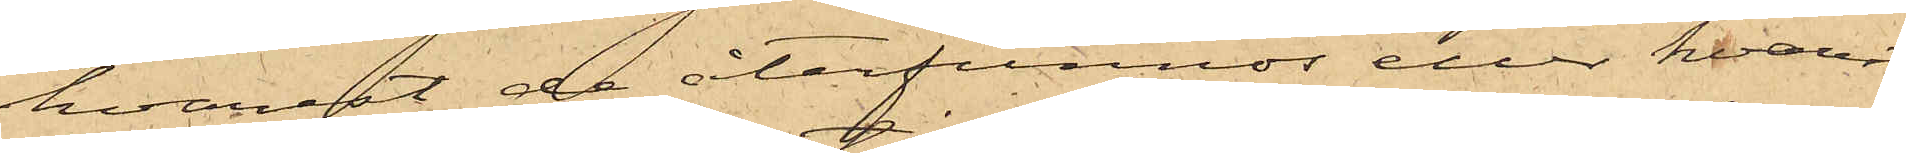hvarest de återfunnos eller hvarest
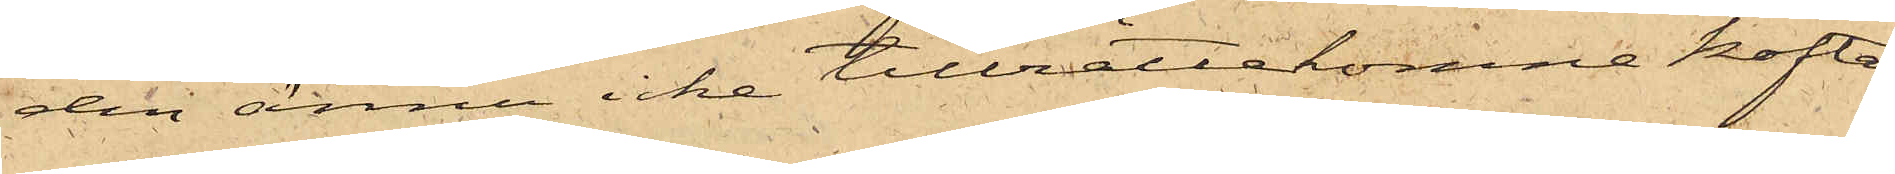den ännu icke tillrättakomne koftan
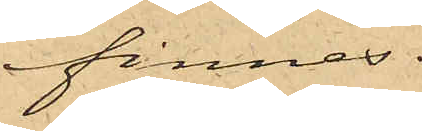finnes.
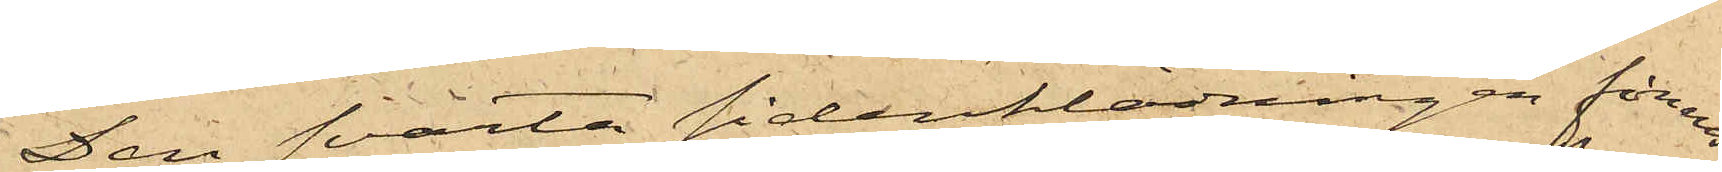Den svarta sidenklädningen finnes
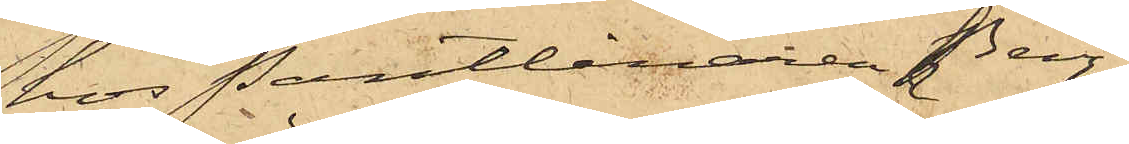hos Pantlånaren Berg.
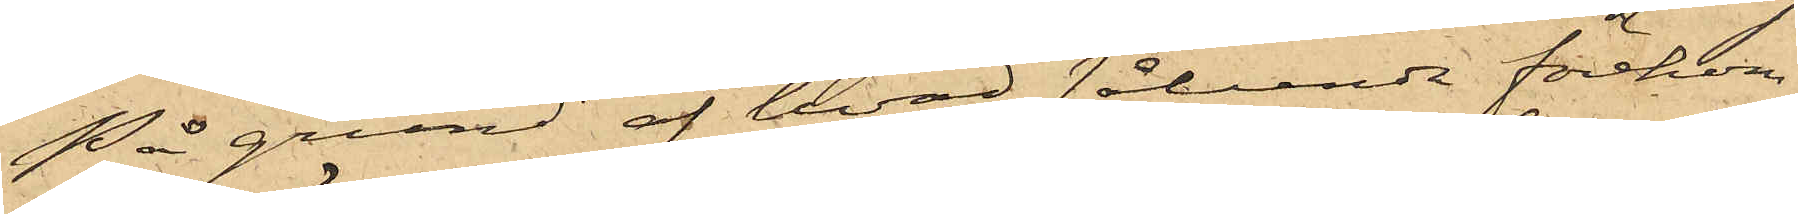På grund af hvad sålunda förekom¬
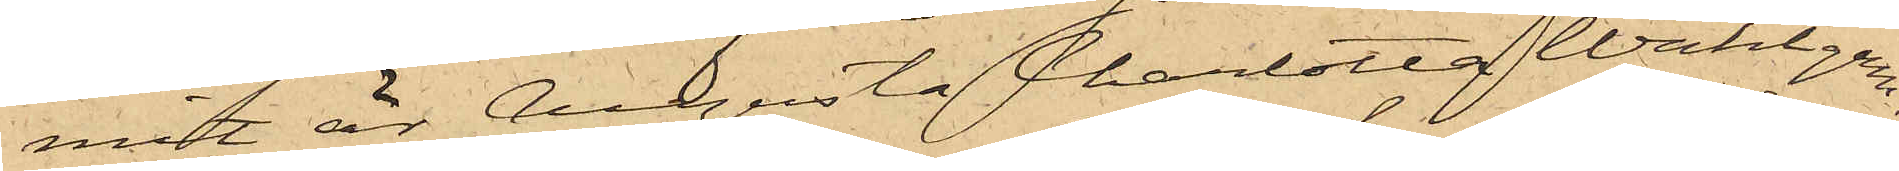mit är Augusta Charlotta Wahlgren,
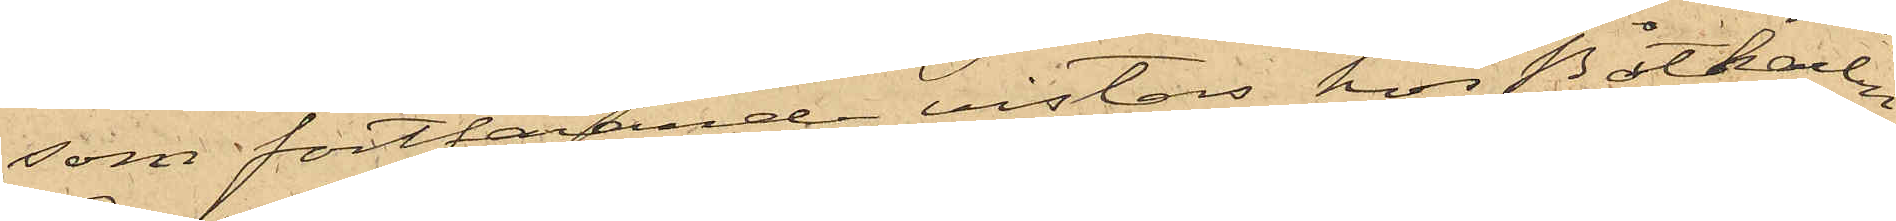som fortfarande vistas hos Båtkarlen
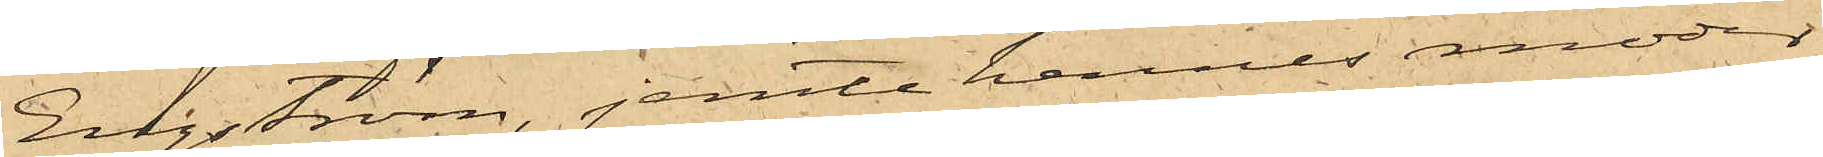Engström, jemte hennes moder
